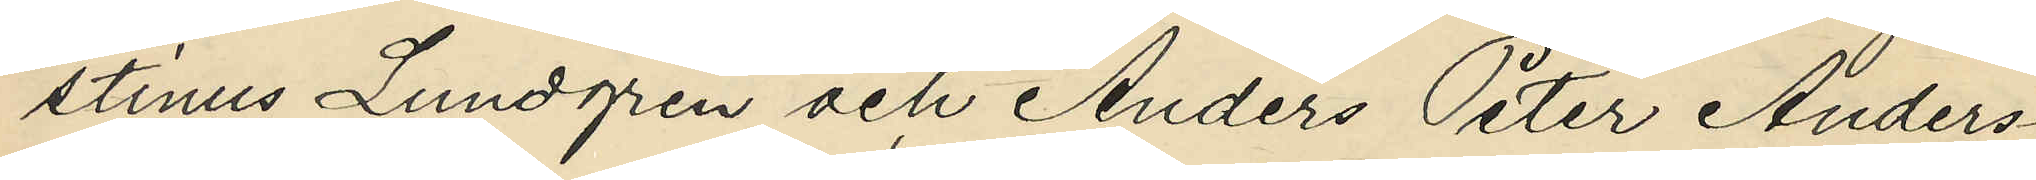stinus Lundgren och Anders Peter Anders¬
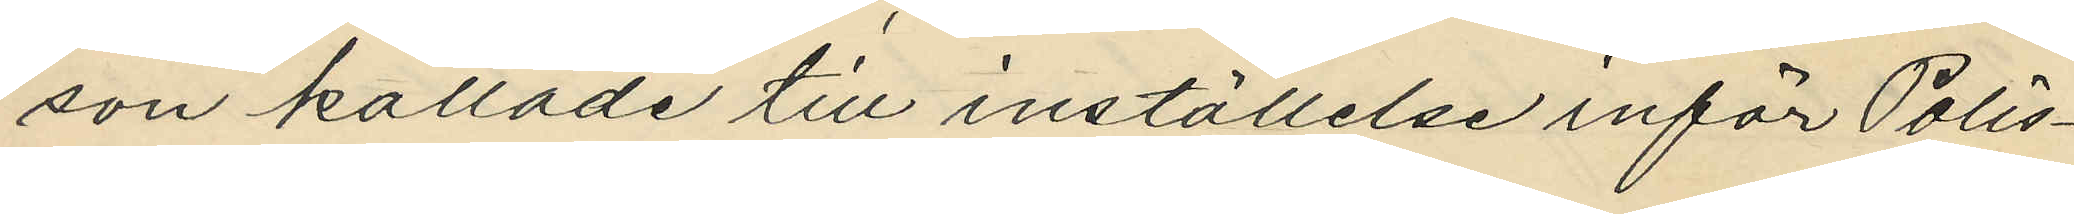son kallade till inställelse inför Polis¬
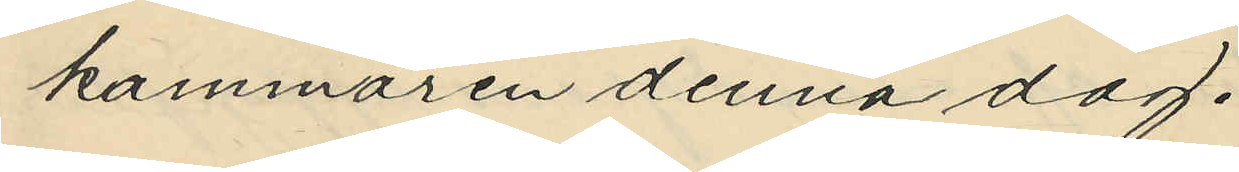kammaren denna dag.
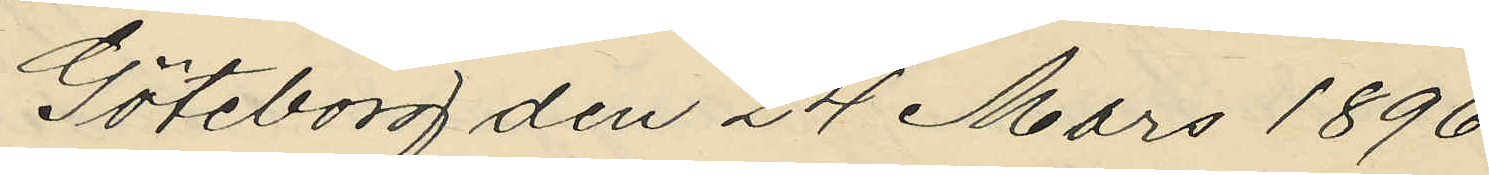Göteborg den 24 Mars 1896.
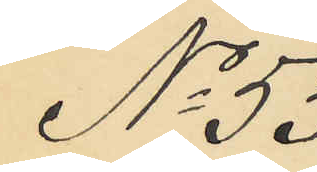No 53
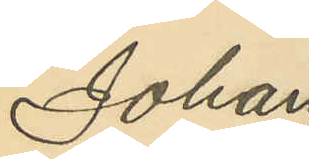Johan
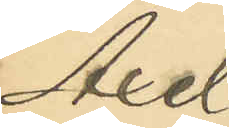Axel
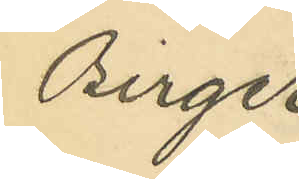Birger
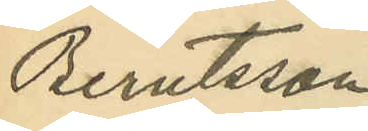Berntsson
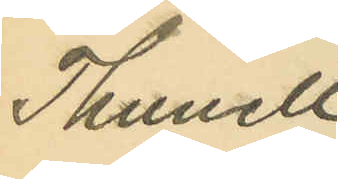Thunell
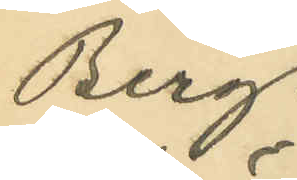Berg¬
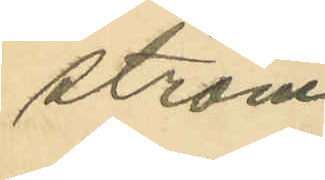ström
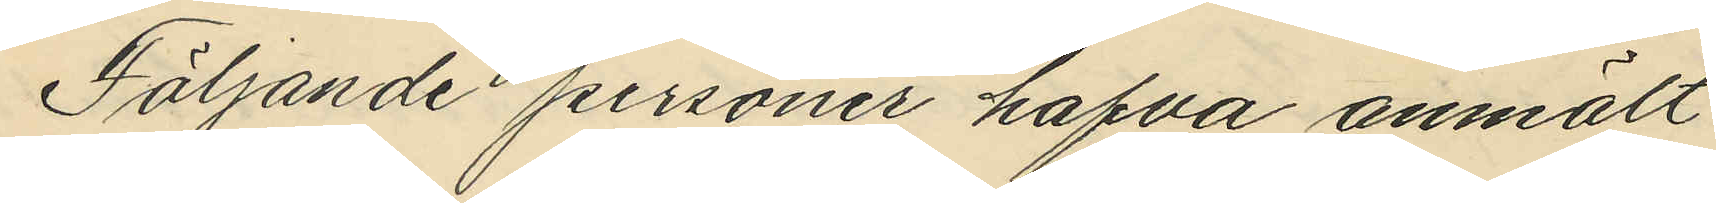Följande personer hafva anmält
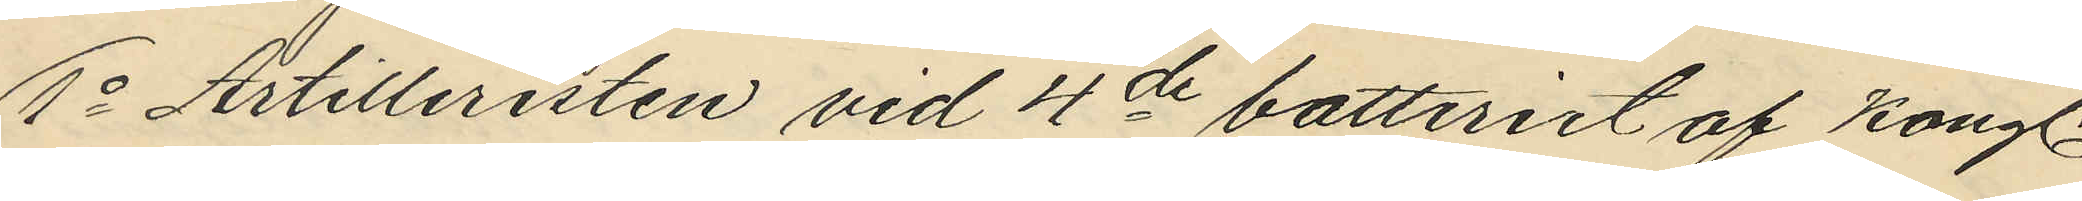1o Artilleristen vid 4de batteriet af Kongl.
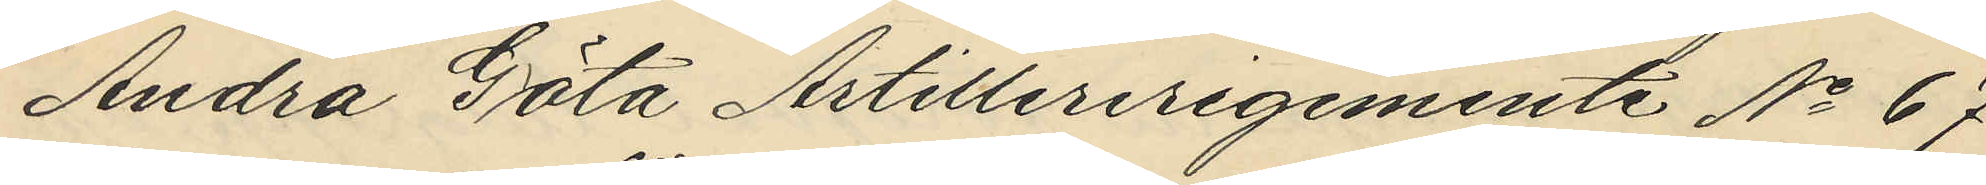Andra Göta Artilleriregemente No 67
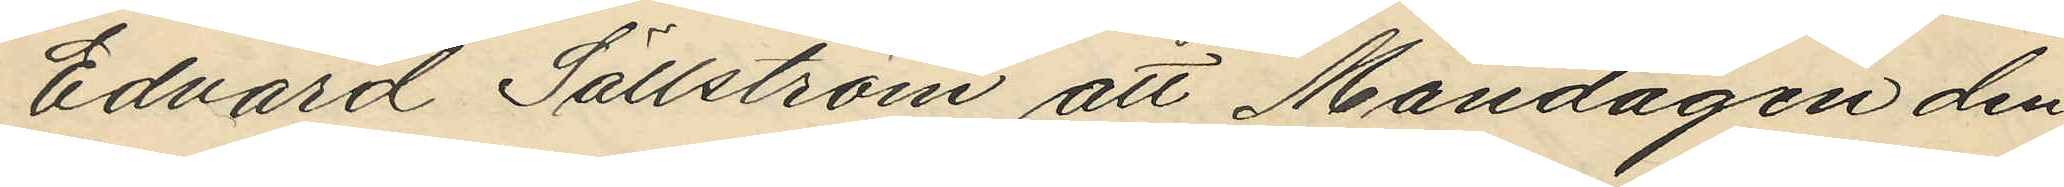Edvard Sällström att Måndagen den
